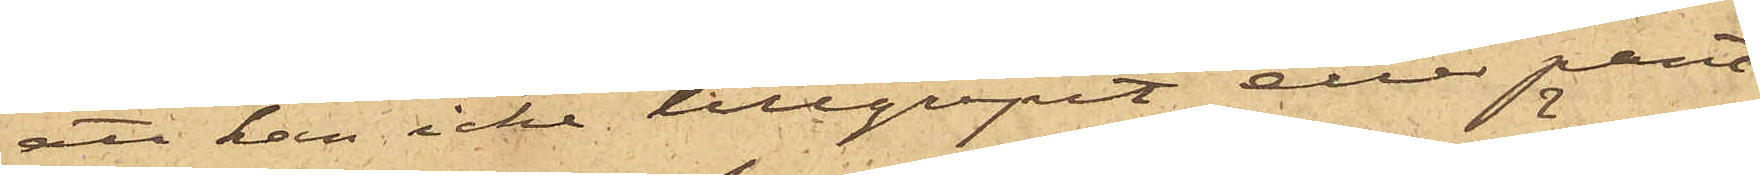att han icke tillgripit eller pant¬
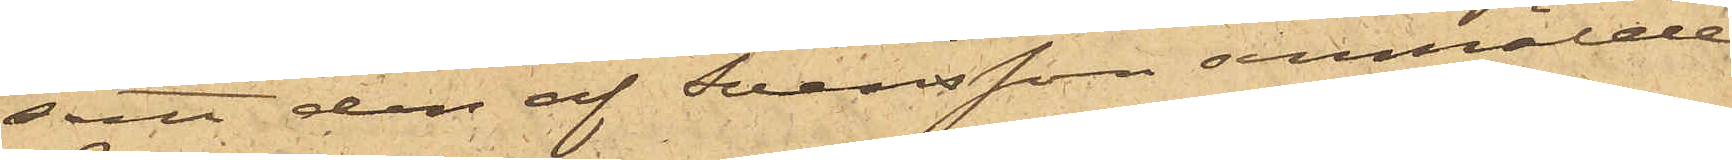satt den af Svensson anmälde
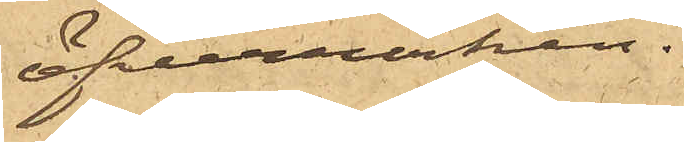öfverrocken.
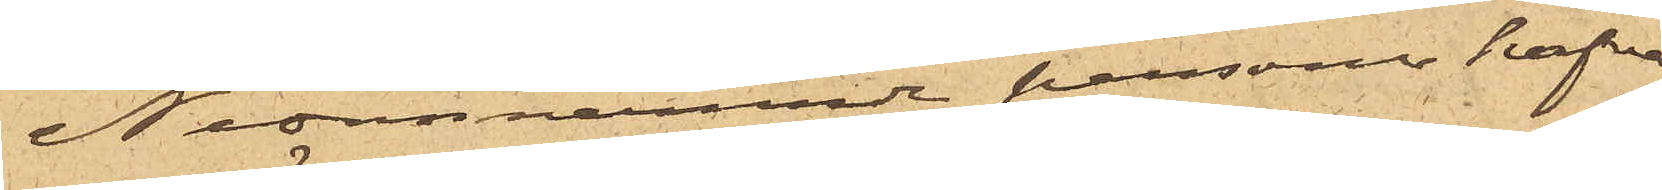Nedannämnde personer hafva
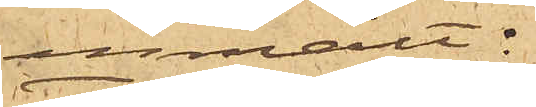anmält:
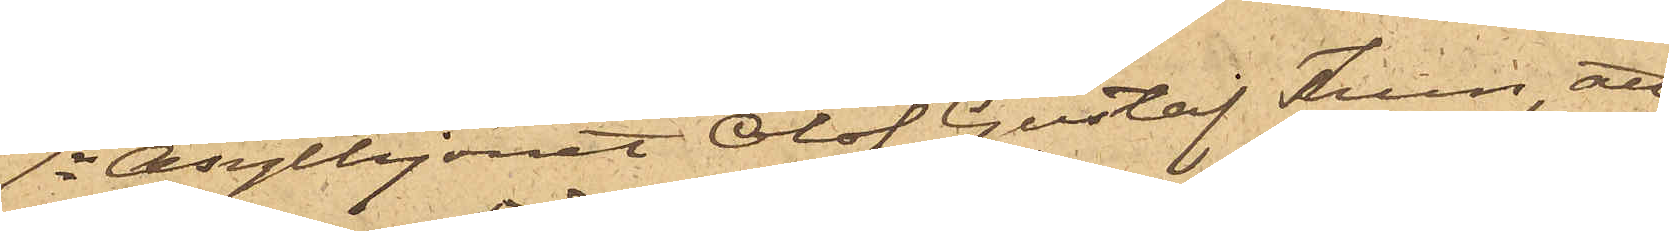1o Asylhjonet Olof Gustaf  Thun, att
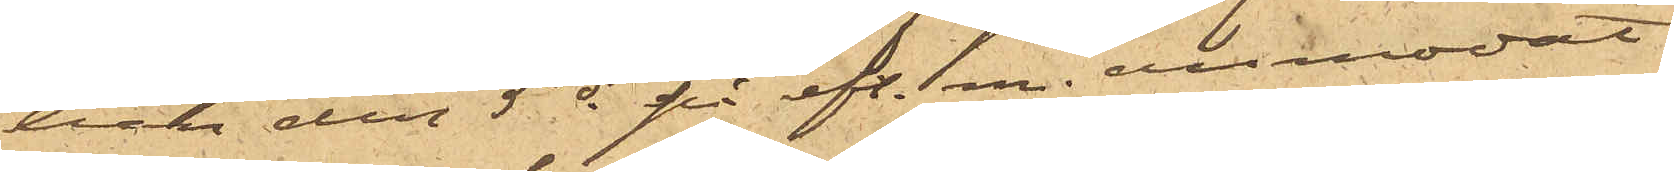han den 5 ds på eft. m. anmodat
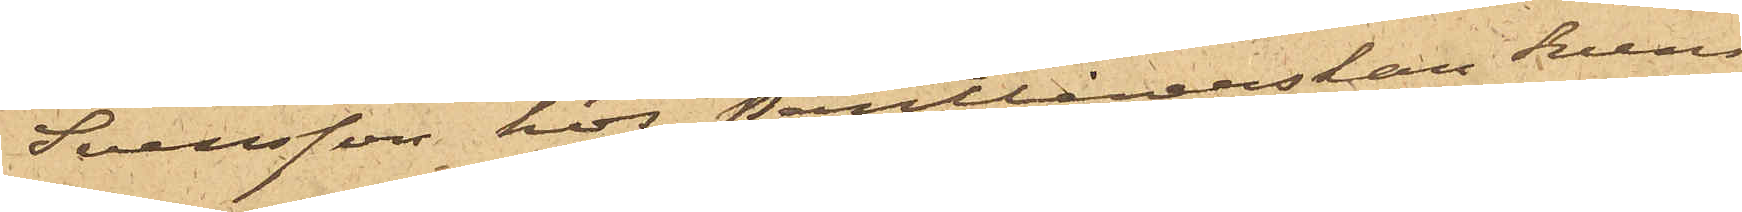Svensson hos Pantlånerskan Svens¬
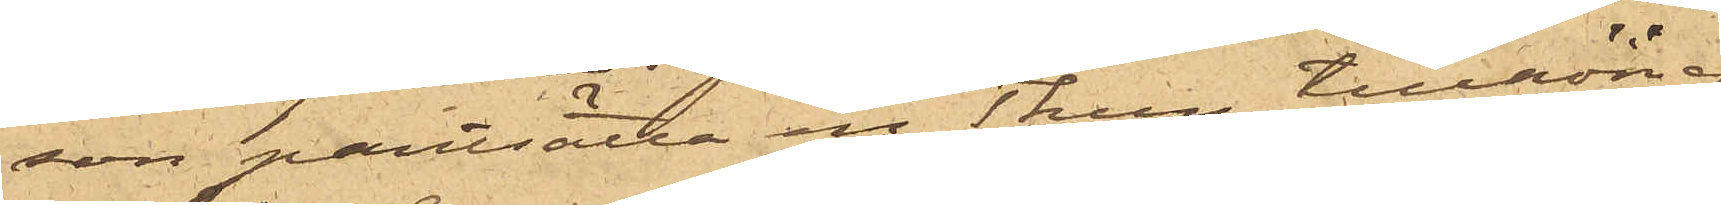son pantsätta en Thun tillhörig
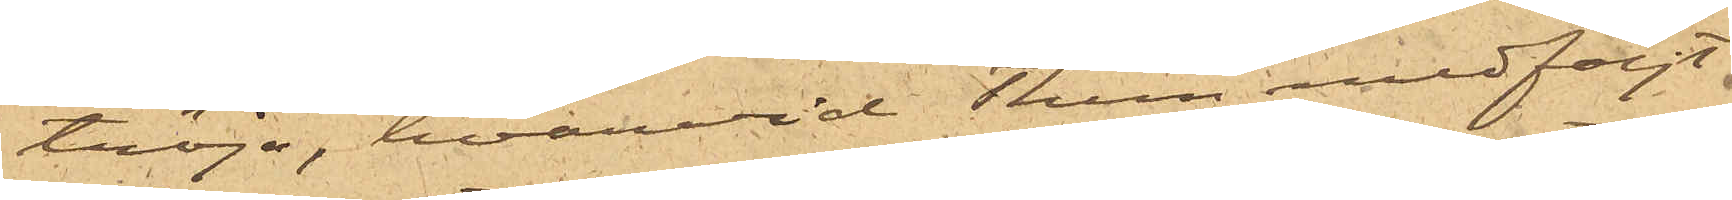tröja, hvarvid Thun medföljt
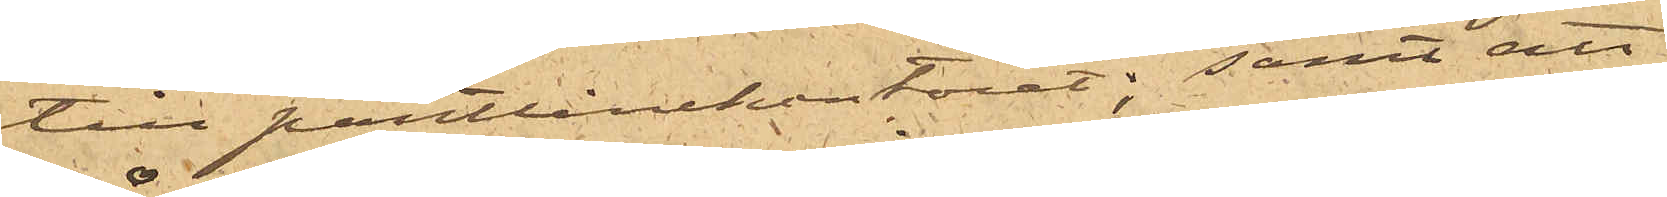till pantlånekontoret; samt att
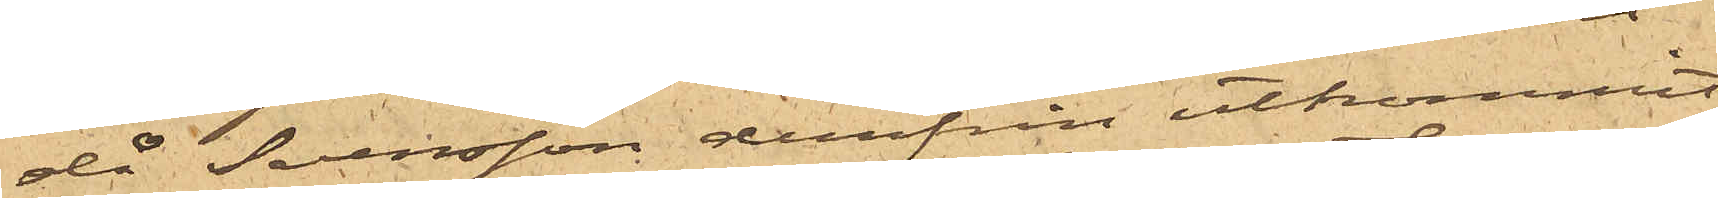då Svensson derifrån utkommit
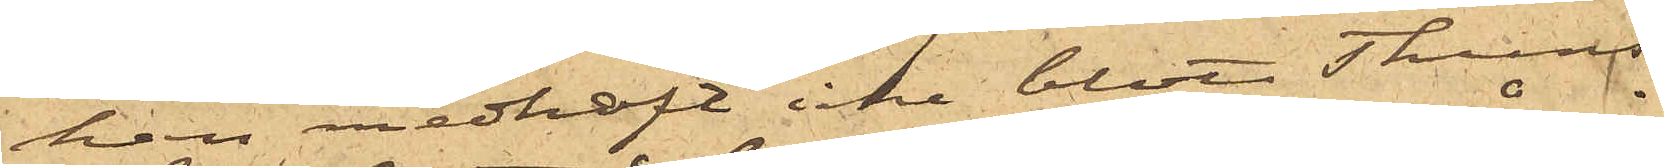han medhaft icke blott Thuns
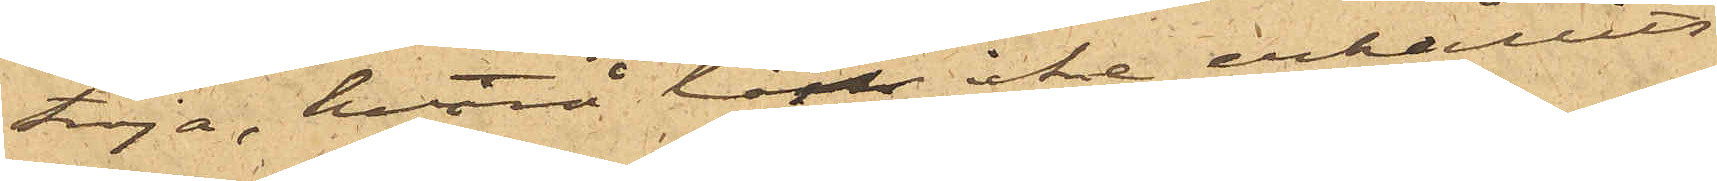tröja, hvarå lån icke erhållits,
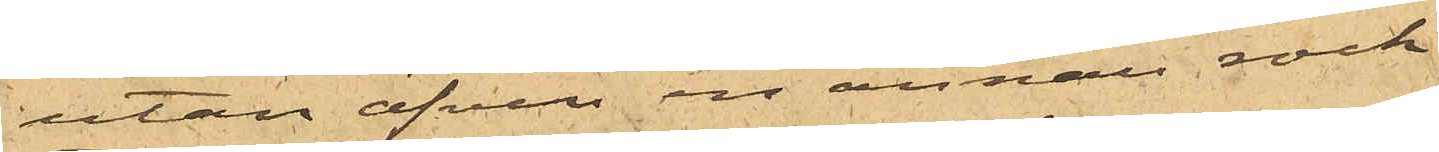utan äfven en annan rock.
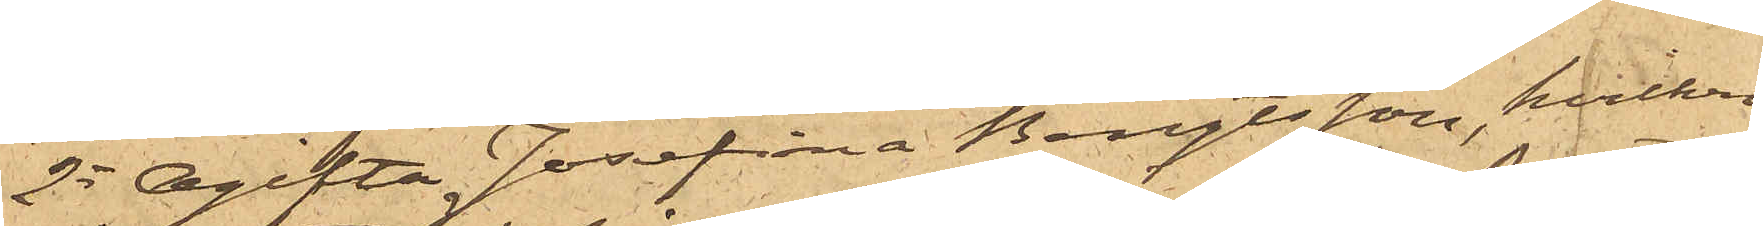2o Ogifta Josefina Bengtsson, hvilken
